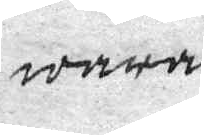wara.
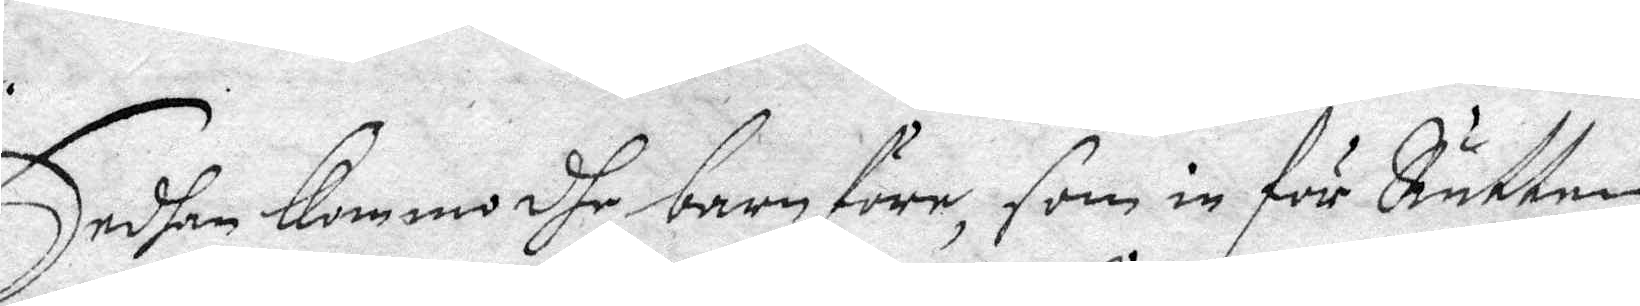Sedhan Kommo dhe barn före, som in för Rätten
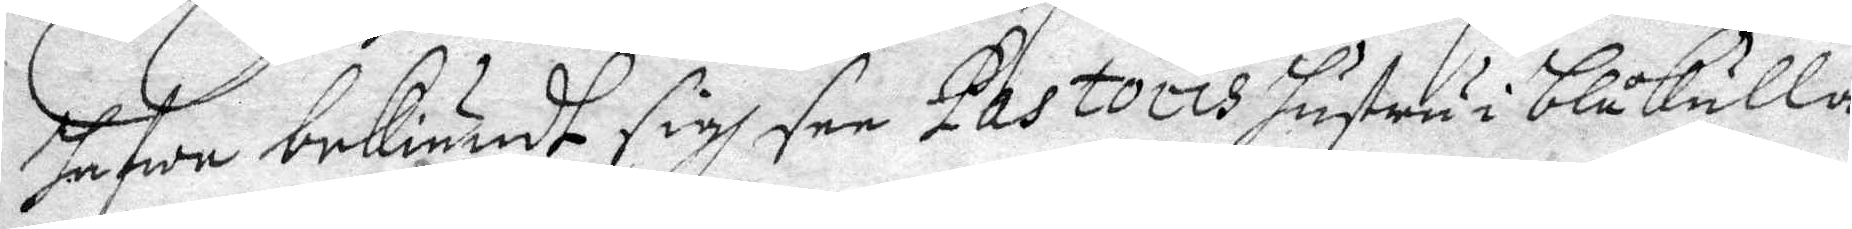hafwa bekiändt sigh see Pastoris hustru i blåkulla,
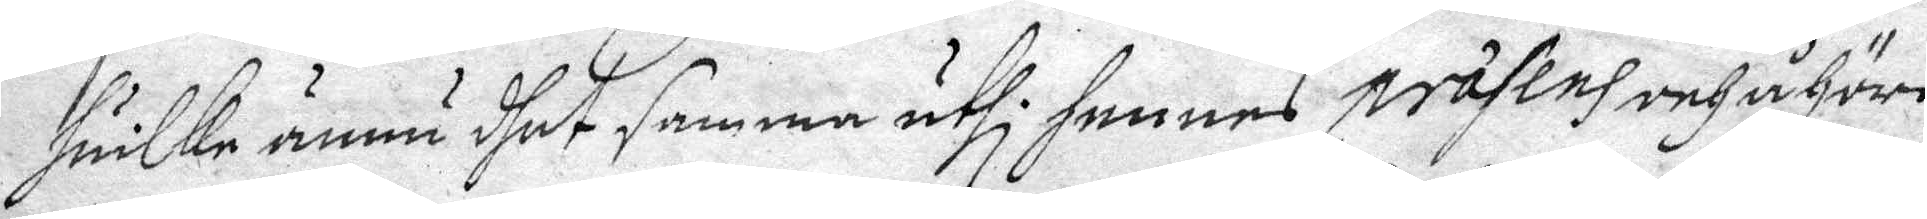huilke ännu dhet samma uthi hennes prästend och åhöro
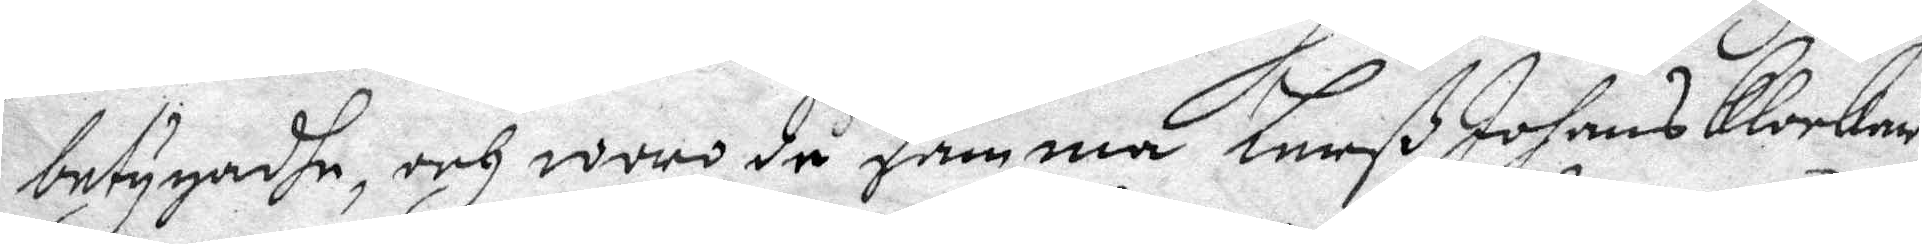betygadhe, och woro då framme Larß Johans Klockar¬
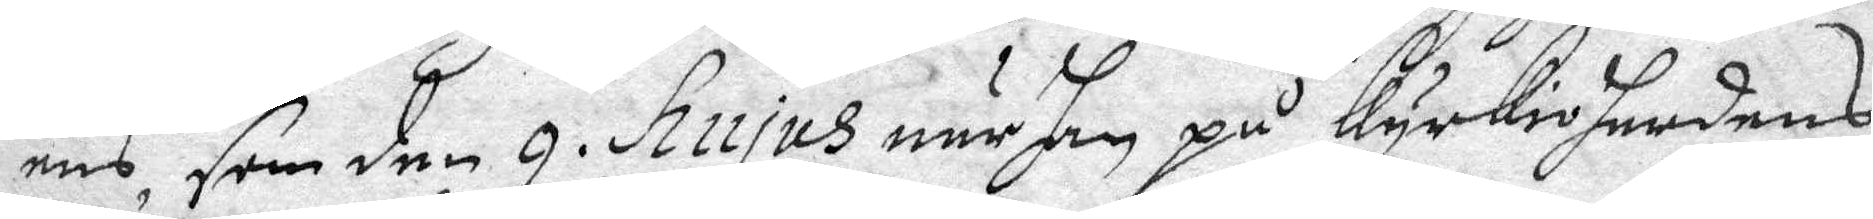ens som den 9. Hujus när han på kyrkioherdens
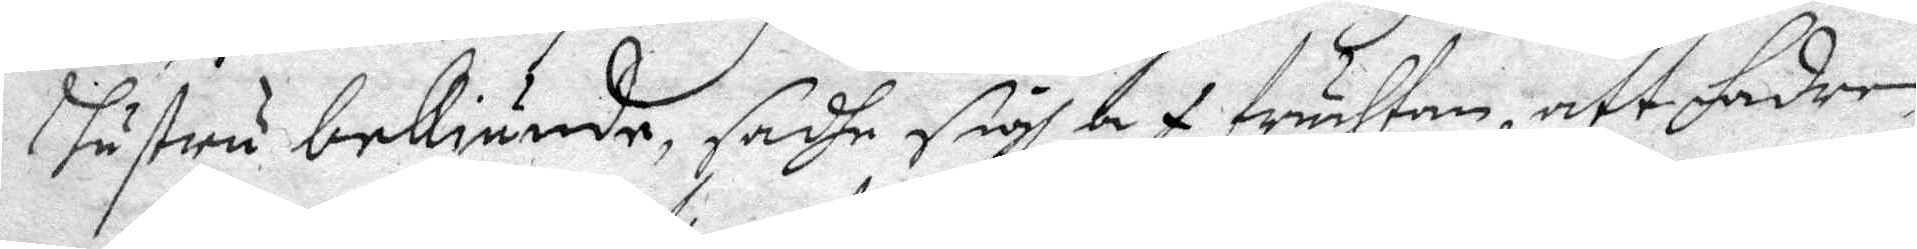hustru bekiände, sadhe sigh af fruhtan, att fadren
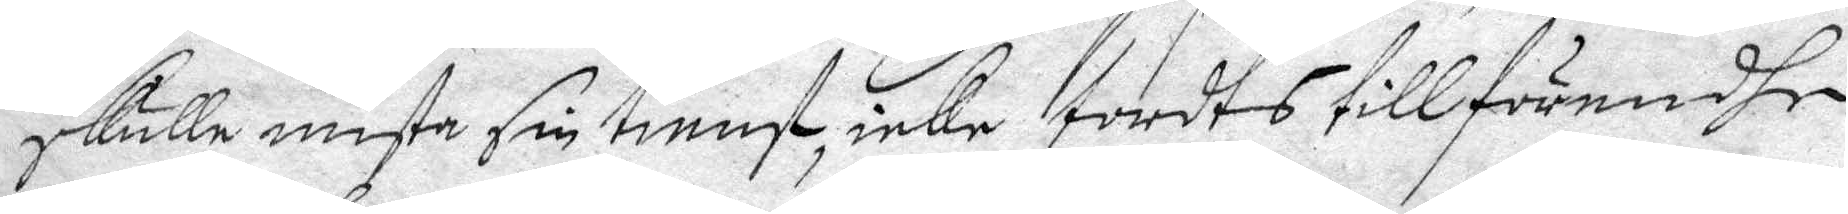skulle mista sin tienst, icke tordes tillförendhe
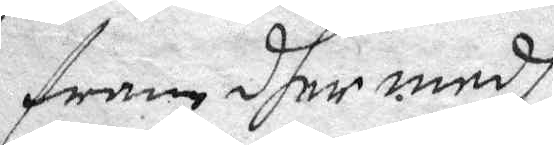fram dher medh.
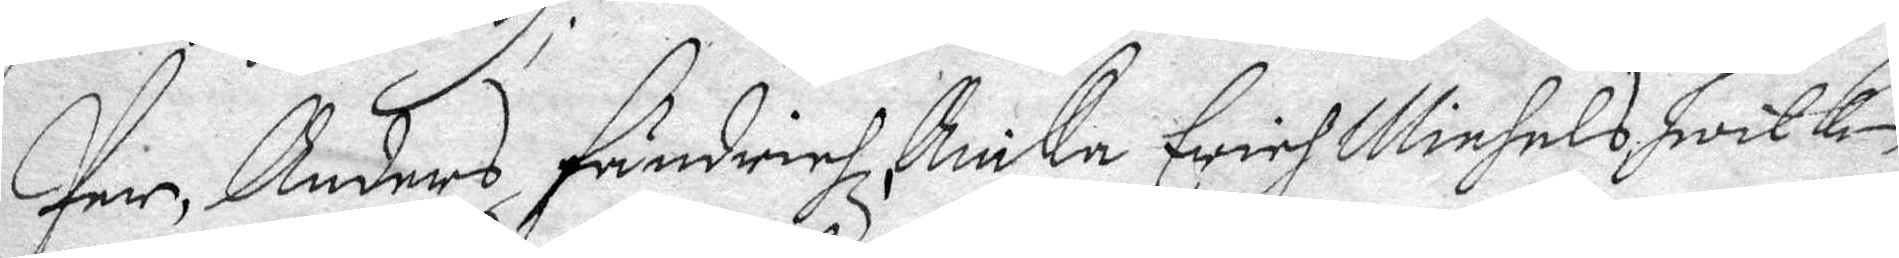Per Anders Händrich, Anika Erich Michels hwilken
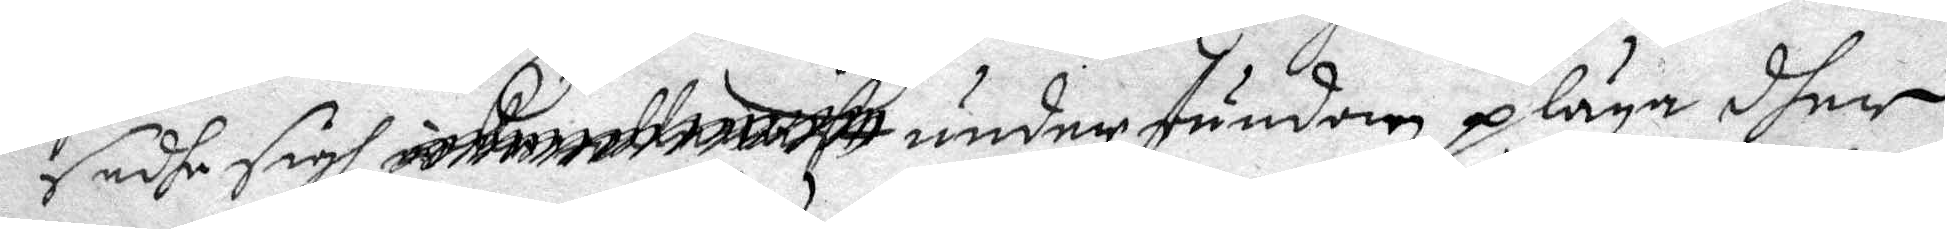sadhe sigh ........ under stundom pläga dher,
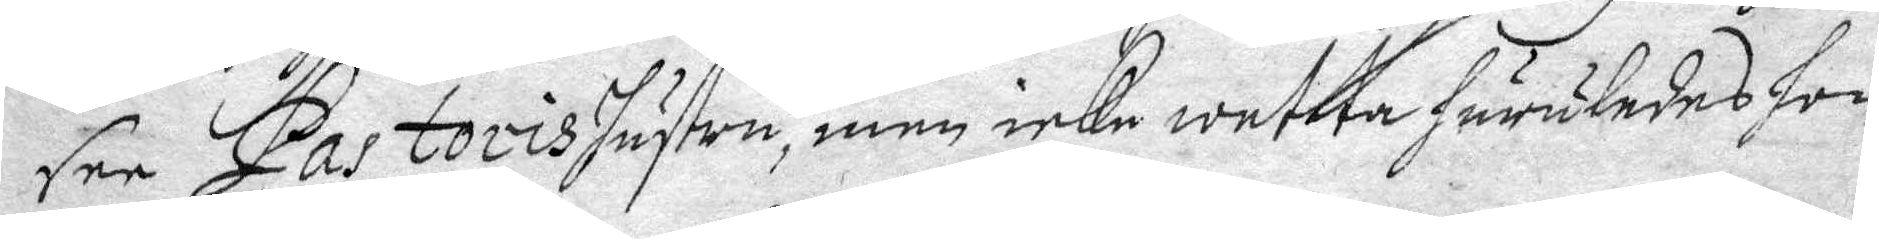see Pastoris hustru, men icke wetta huruledes hon
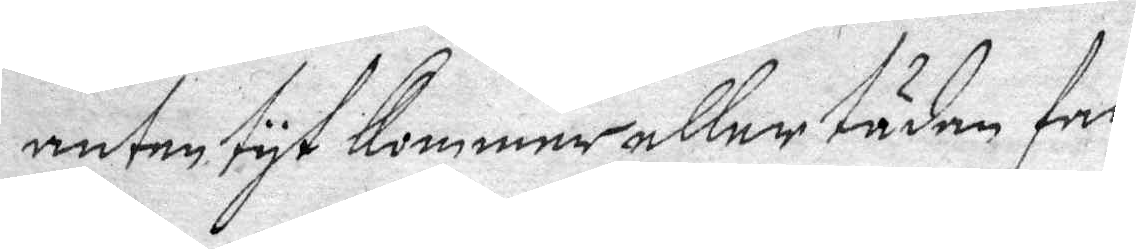anten tyt kommer aller täden far,
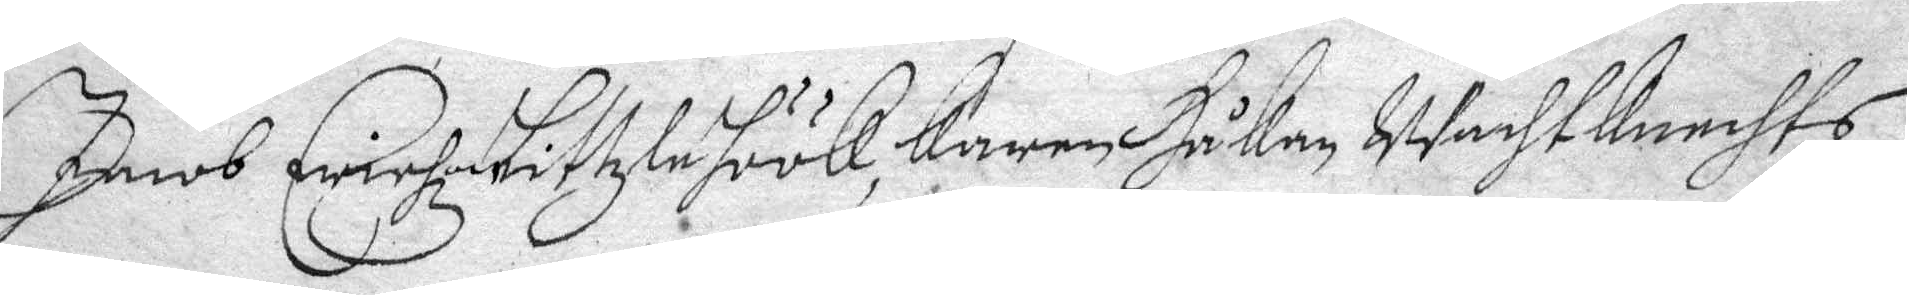Jacob Erichxon Littzle höök, Karen Håkan WachtKechts
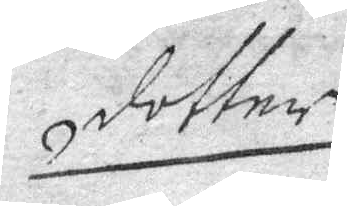dotter
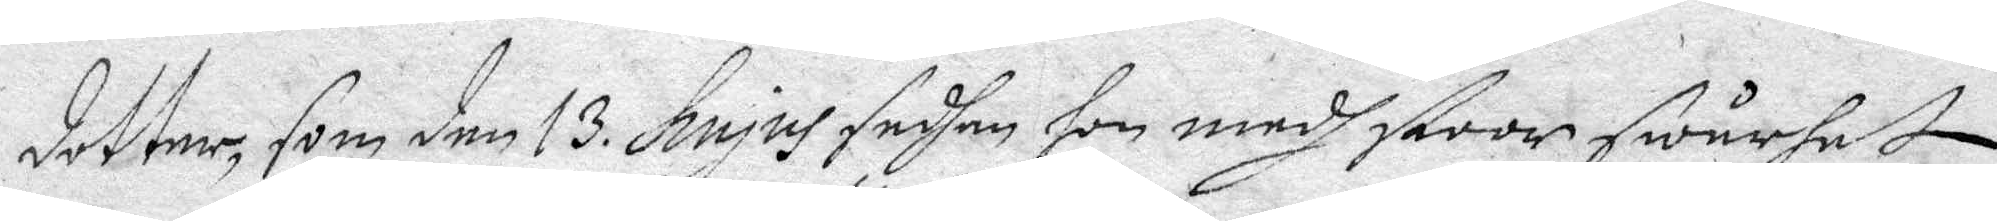dotter, som den 13. Hujus sedhan hon medh stoor swårhet 
